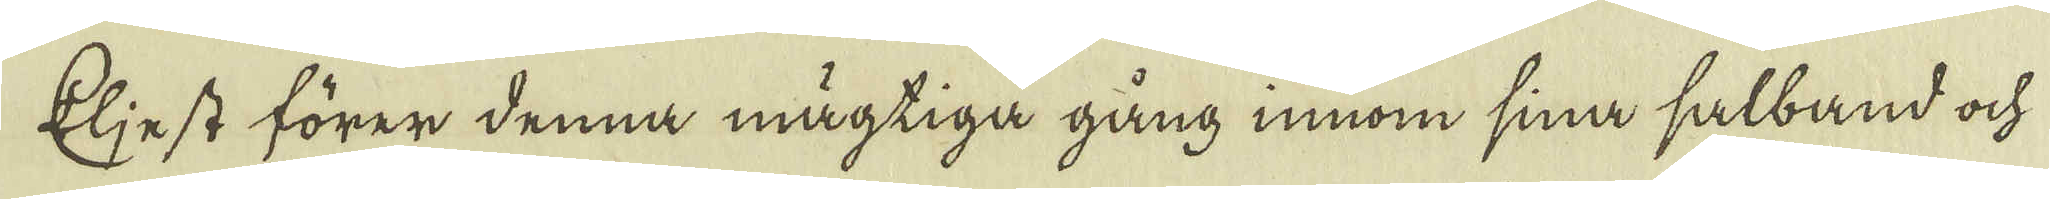Eljest förer denna mägtiga gång innom sina salband ock
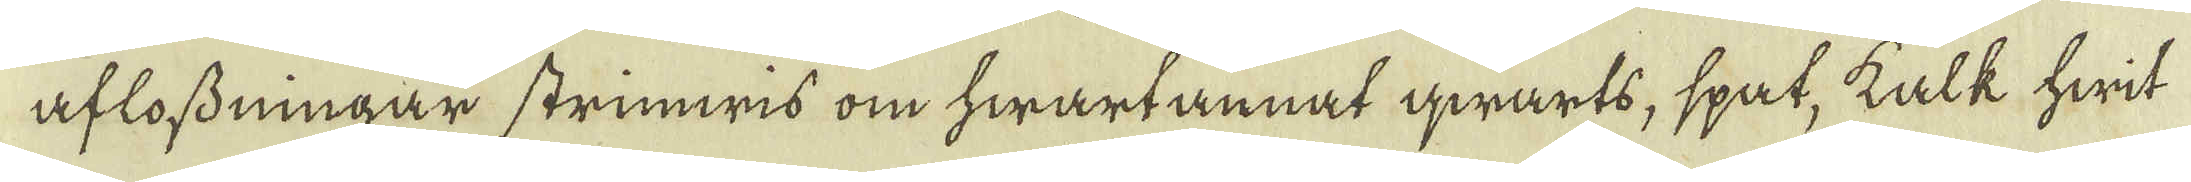aflossdningar strimwis om hwart annat qwarts, spat, kalk hwit
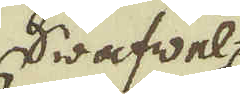Swafwes
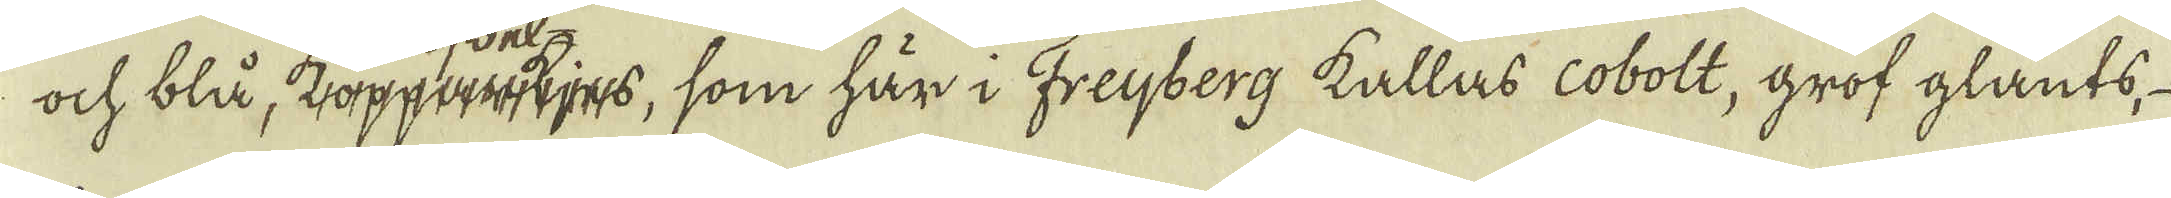ock blå, koppajes, som här i Freijberg kallas cobolt, grof glants,
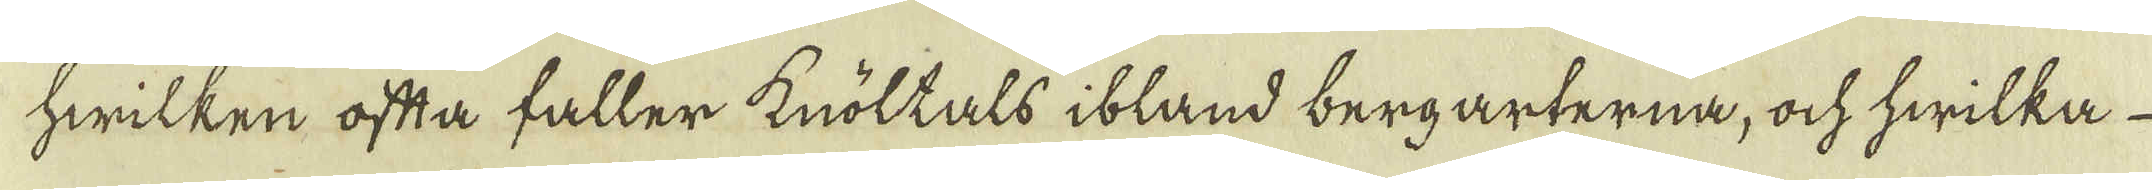hwilken ofta faller knöltals ibland bergarterna, ock hwilka
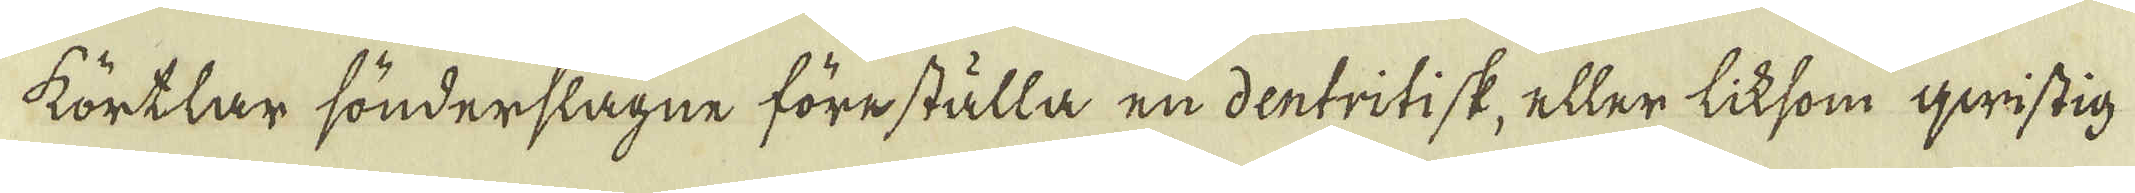körtlar sönderslagne föreställa en dentritisk, eller liksom qwistig
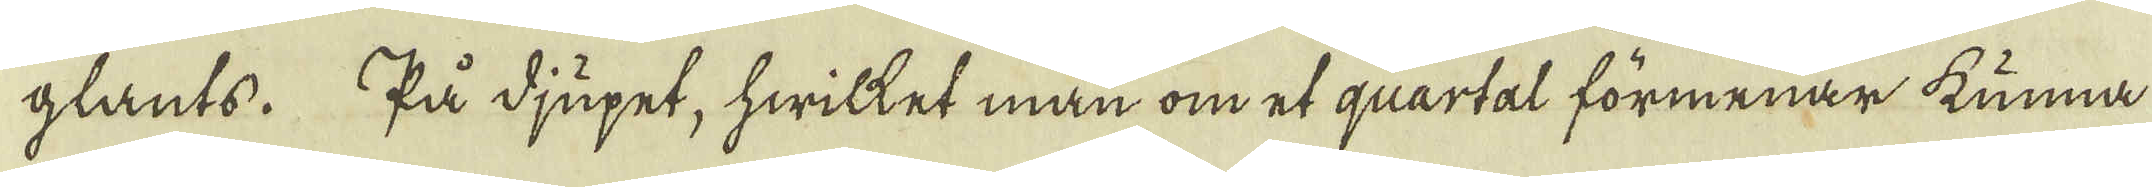glants. På djupet, hwilket man om et quartal förmenar kunna
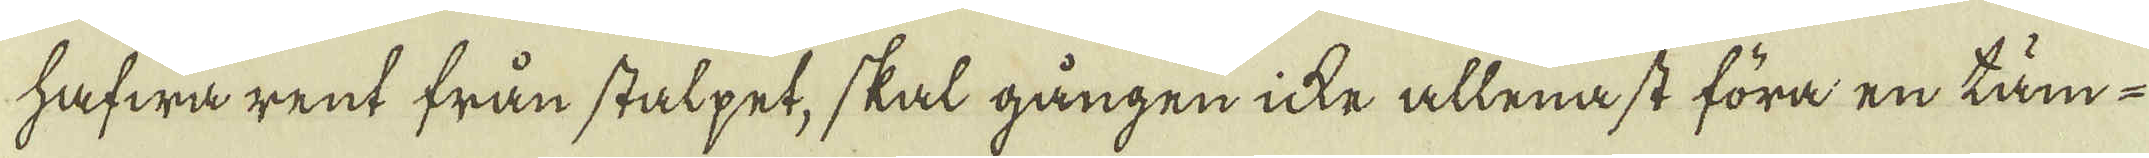hafwa rent från stalpet, skal gången icke allenast föra en täm-
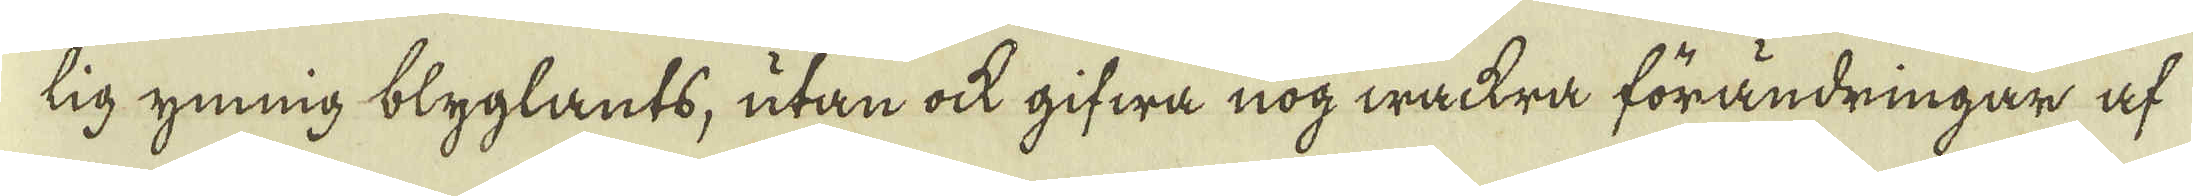lig ynnig blyglants, utan ock gifwa nog wackra förändringar af
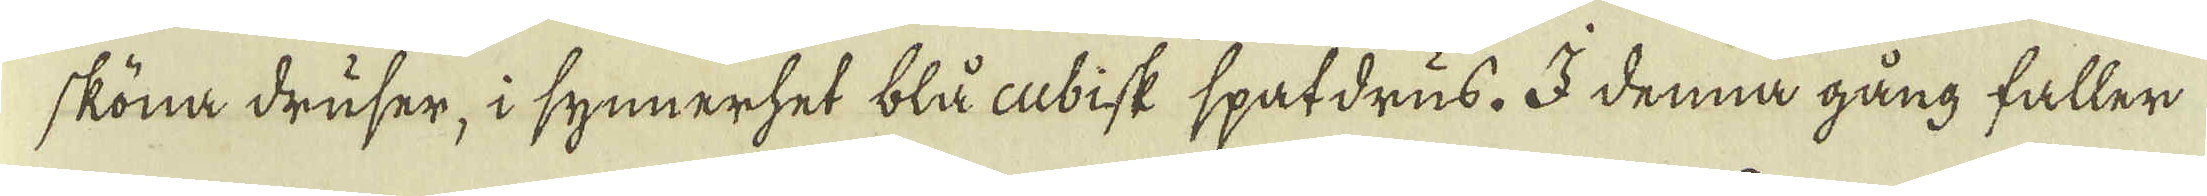sköna druser, i synnerhet blå cubisk spatdrus. I denna gång faller
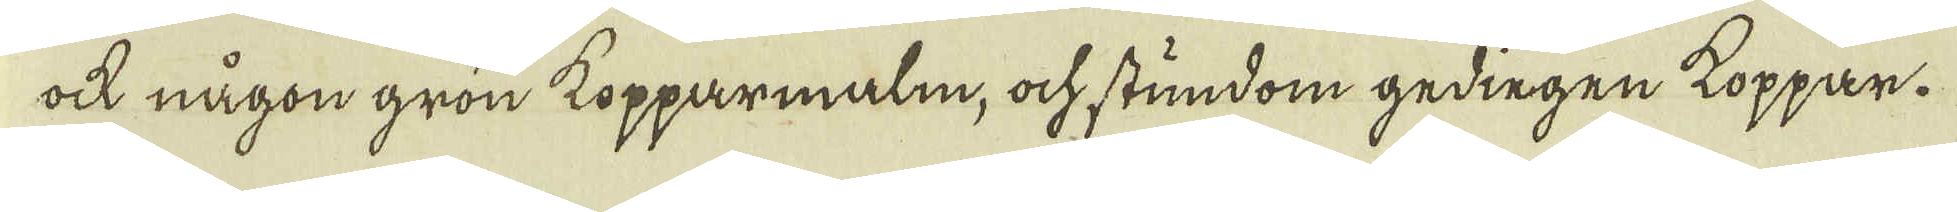ock någon grön kopparmalm, ock stundom gedingen koppar.
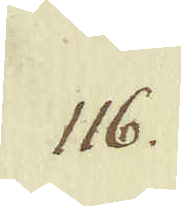116.
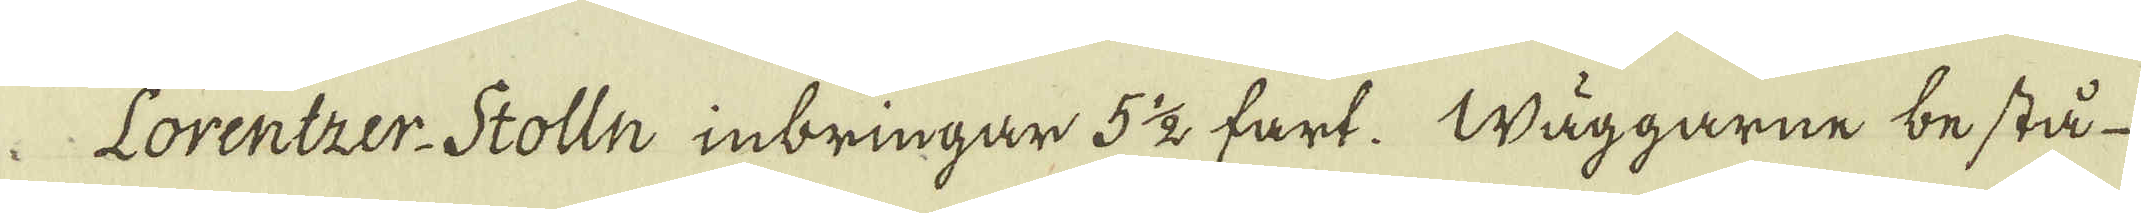Lorentzer-Stolln inbringar 5 1/2 fart. Wäggarne bestå
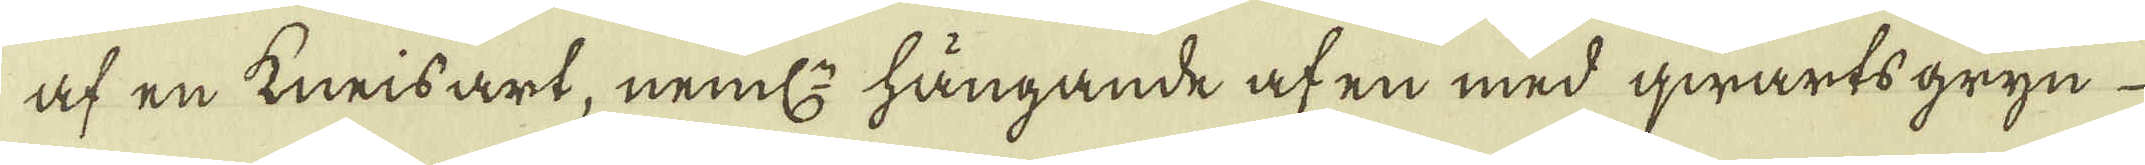af en kneisart, neml: hängande af en med qwarts gryn-
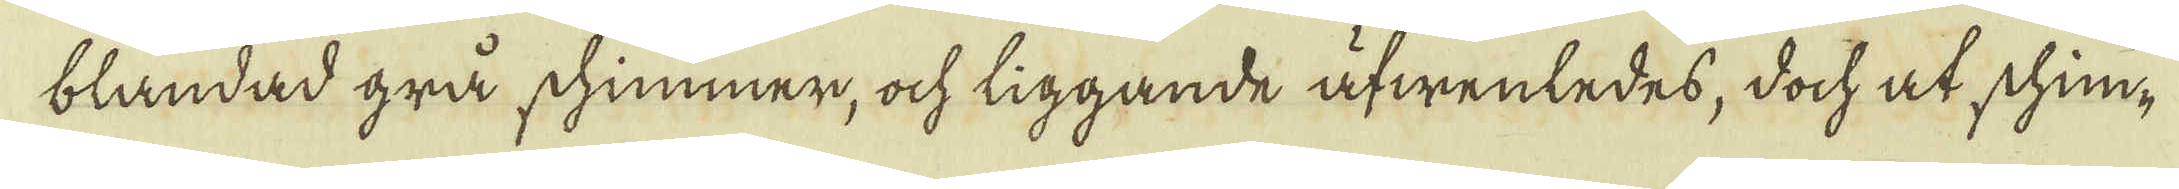blandad grå schimmer, ock liggande äfwenledes, doch at shim-
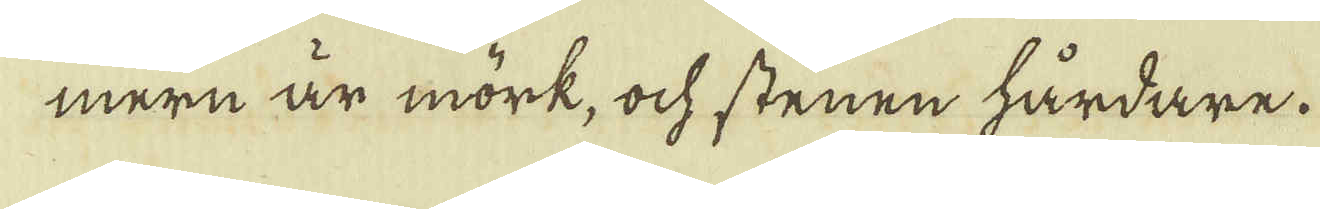mern är mörk, ock stenen hårdare.
